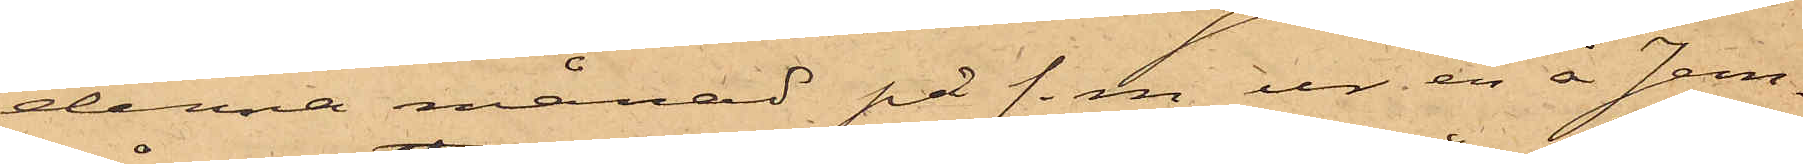denna månad på f.m ur en å Jern¬
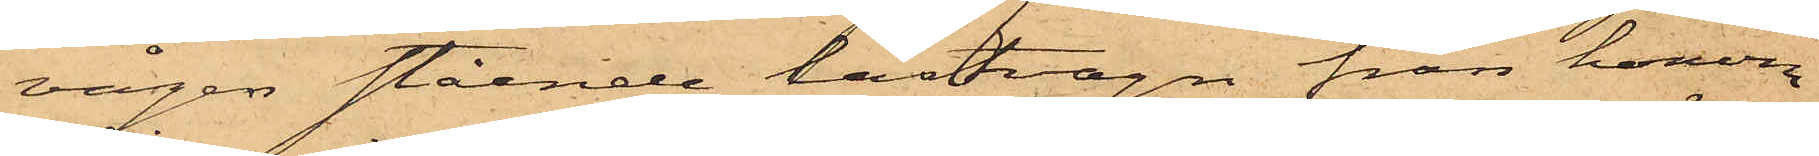vågen stående lastvagn från honom
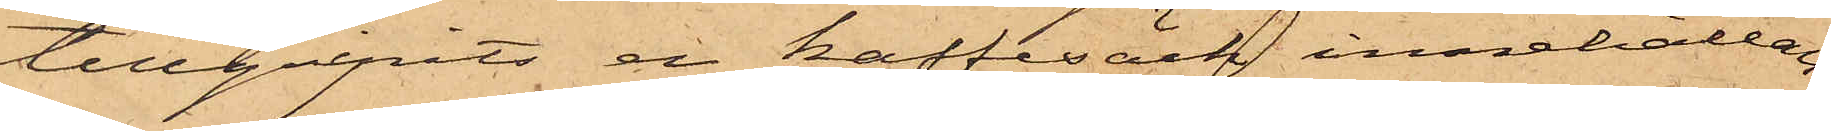tillgripits en kaffesäck, innehållan¬
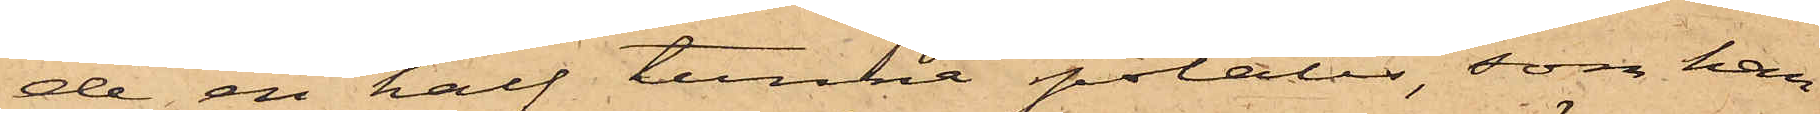de en half tunna potatis, som han
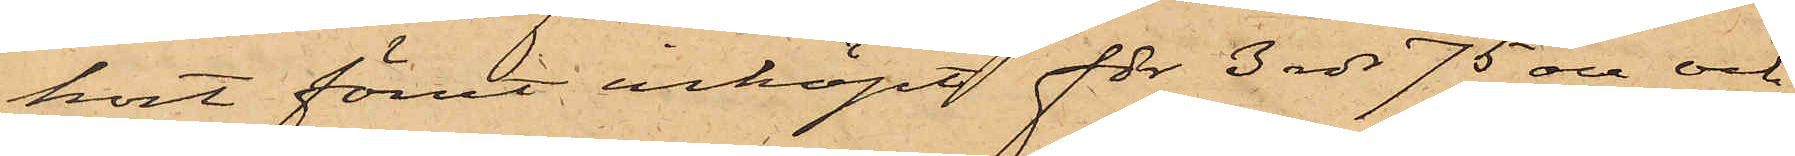kort förut inköpt för 3 rdr 75 öre och
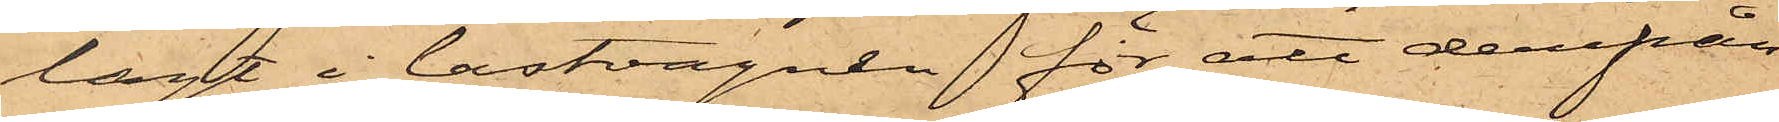lagt i lastvagnen för att derifrån
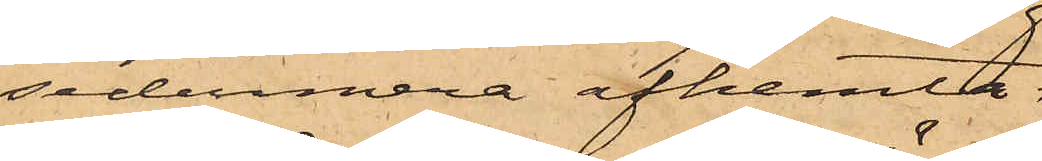sedermera afhemta.
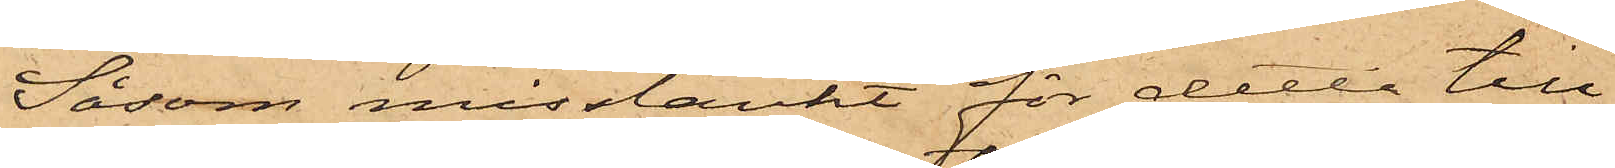Såsom misstänkt för detta till¬
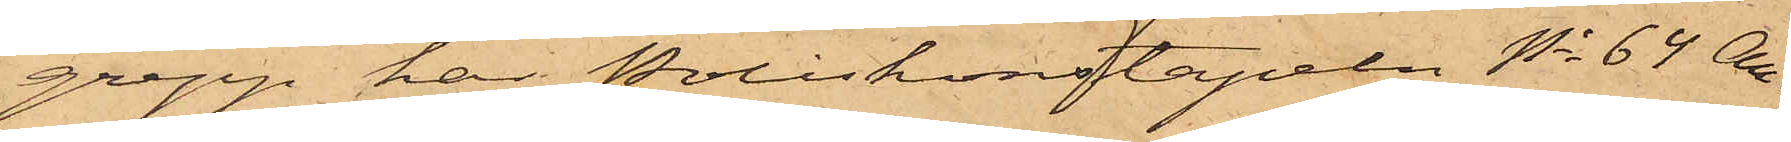grepp har Poliskonstapeln No 64 An¬
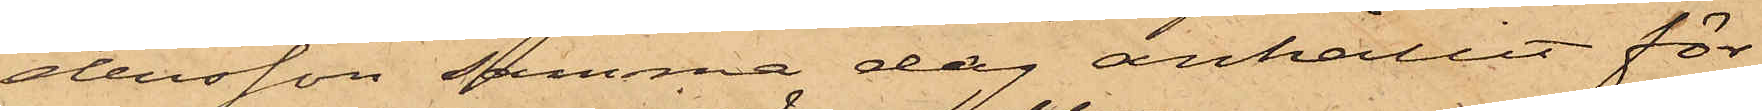dersson samma dag anhållit för
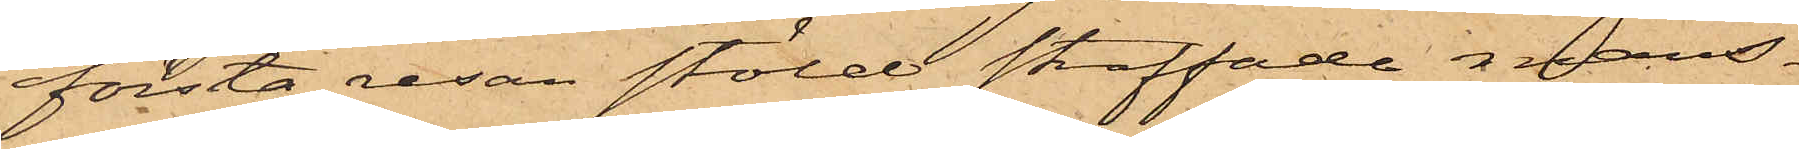första resan stöld straffade mans¬
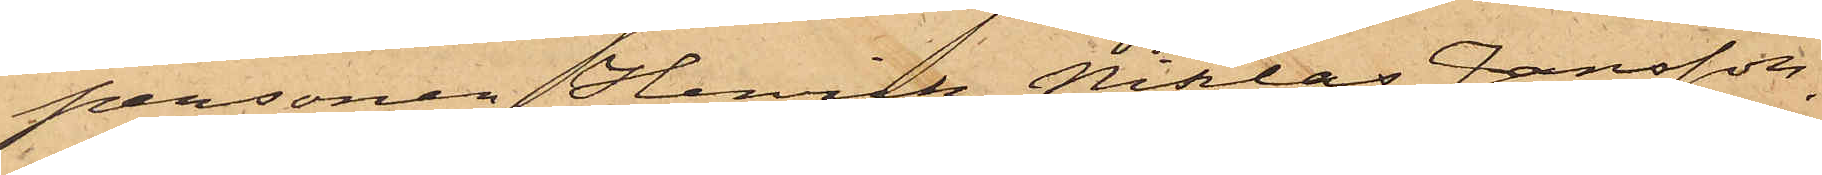personen Henrik Niklas Jansson,
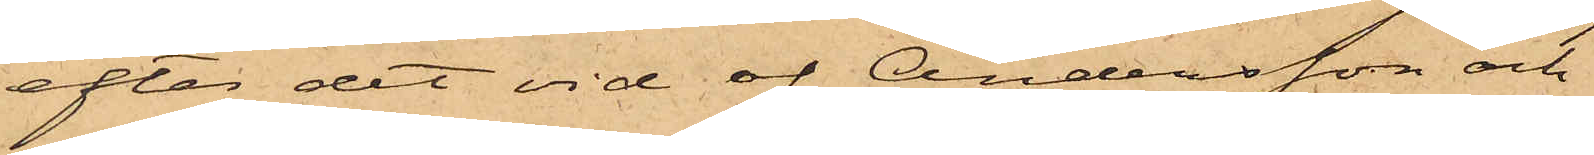efter det vid af Andersson och
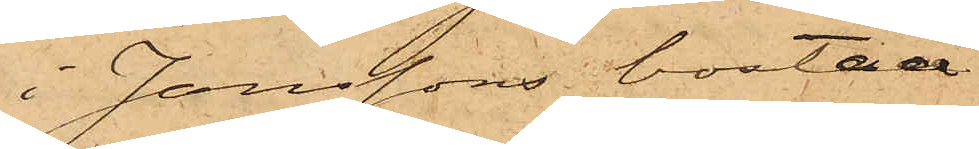i Janssons bostad
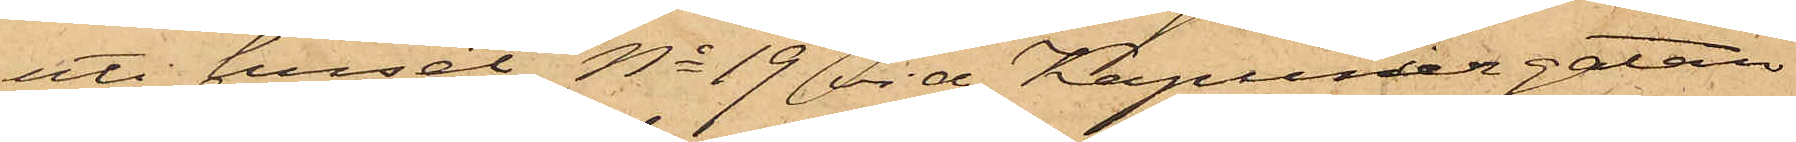uti huset No 19 vid Kaptenergatan
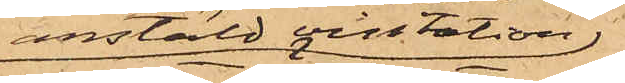anstäld visitation,
